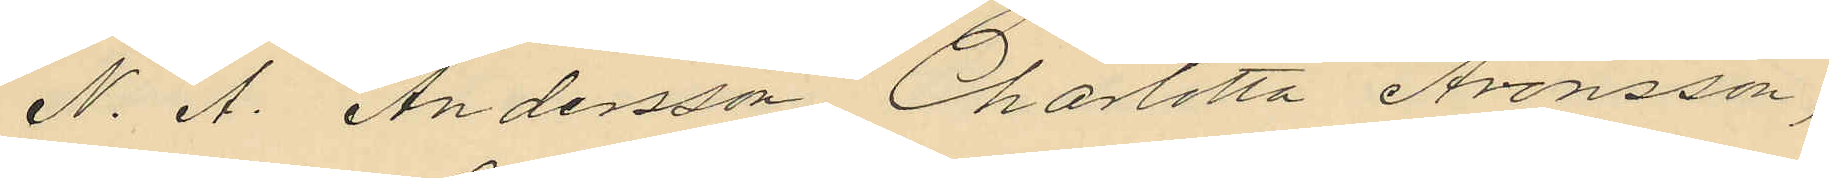N. A. Andersson Charlotta Aronsson,
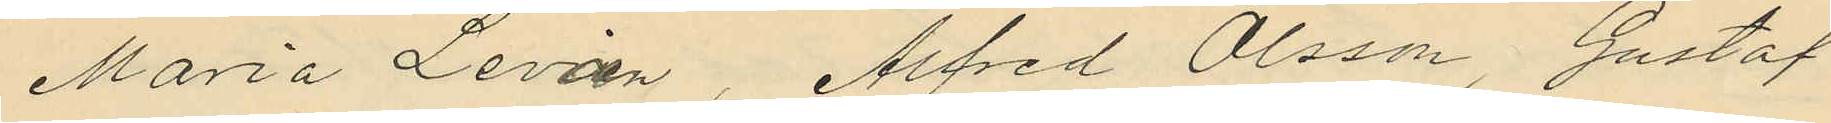Maria Levan, Alfred Olsson, Gustaf
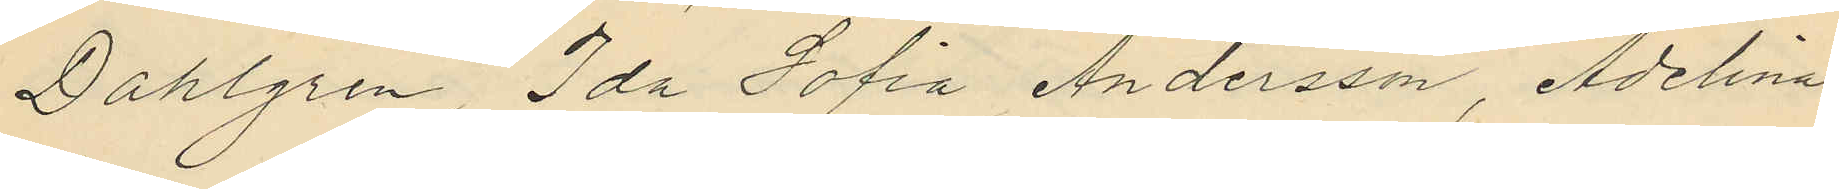Dahlgren, Ida Sofia Andersson, Adelina
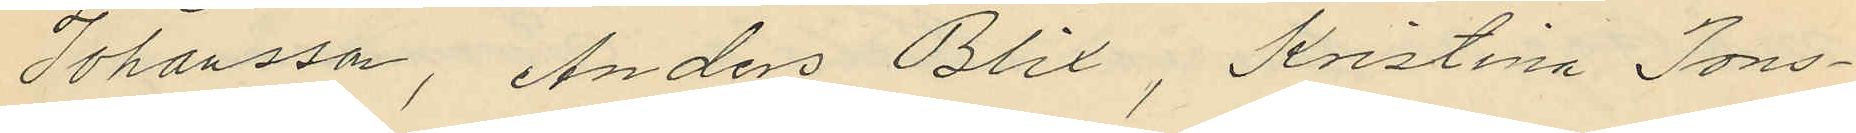Johansson, Anders Blix, Kristina Jons¬
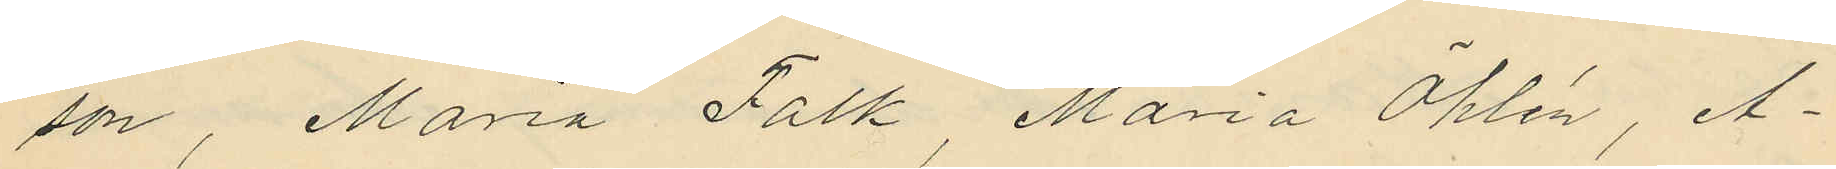son, Maria Falk Maria Öhlén, A¬
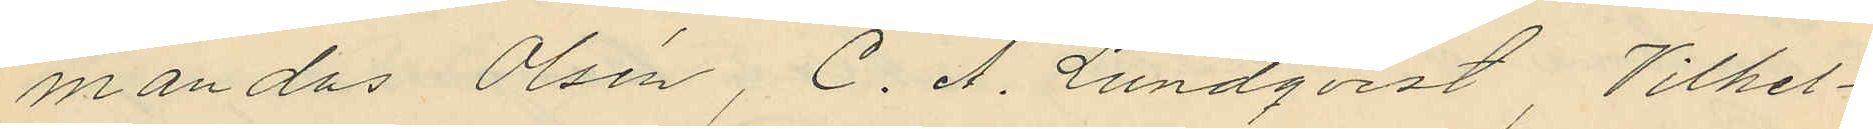mandus Olsén, C. A. Lundqvist, Vilhel¬
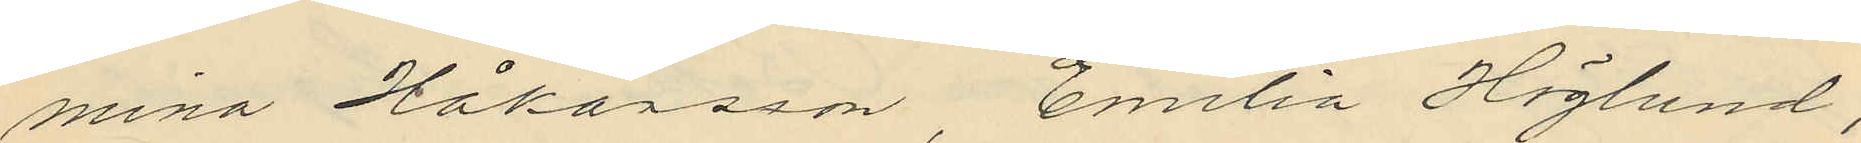mina Håkansson, Emilia Höglund,
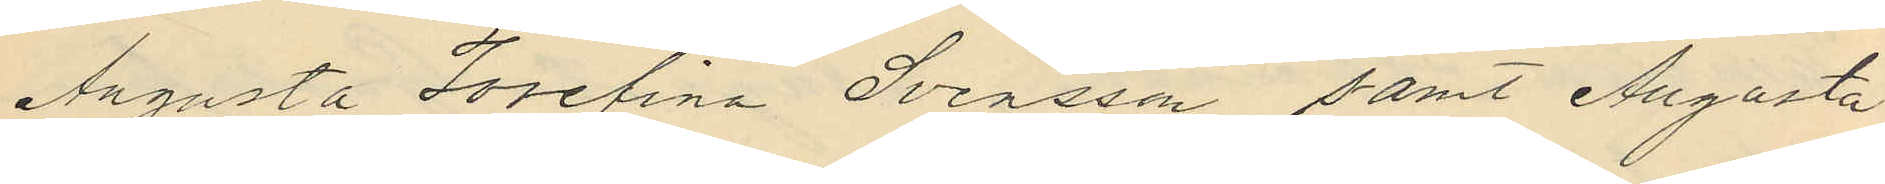Augusta Josefina Svensson samt Augusta
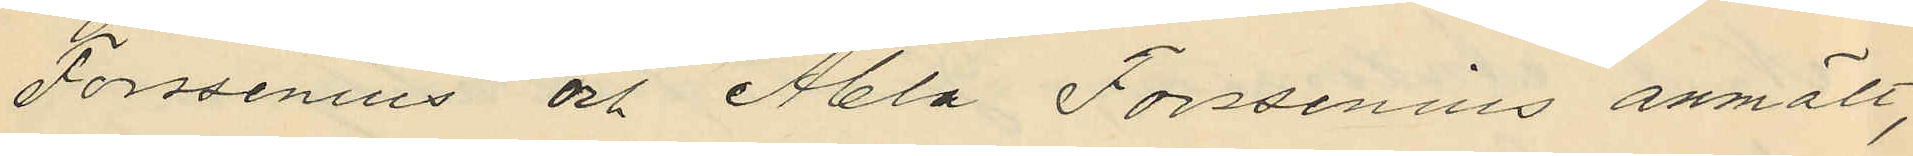Forssenius och Abla Forssenius anmält,
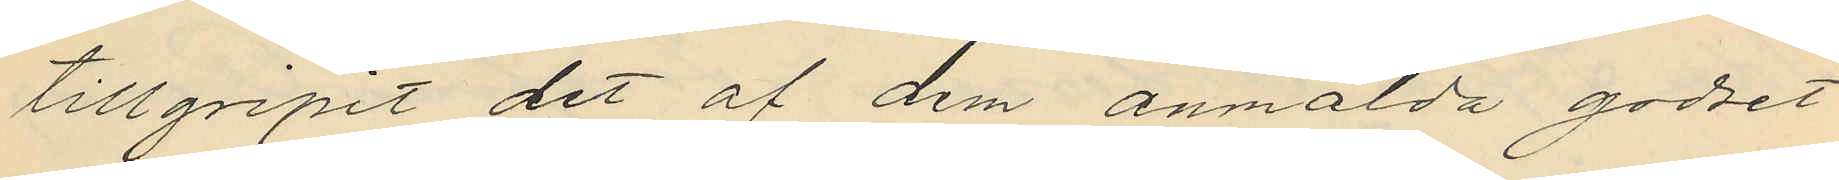tillgripit det af dem anmälda godset
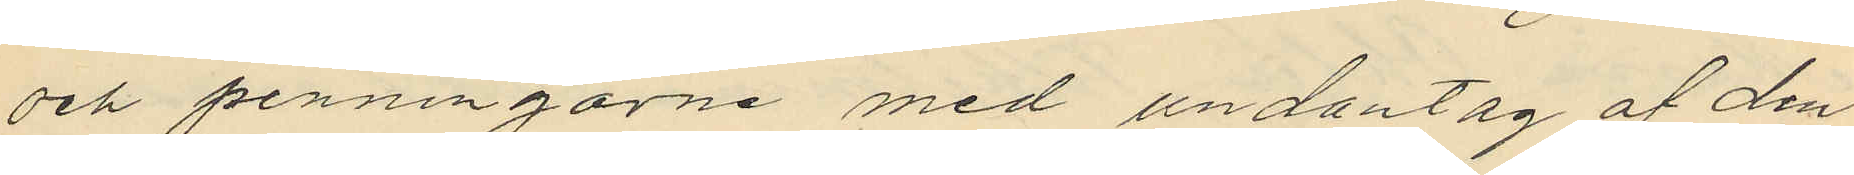och penningarne med undantag af den
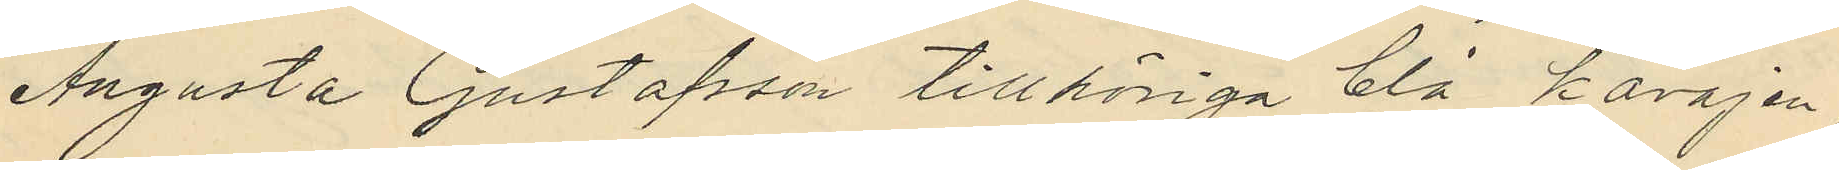Augusta Gustafsson tillhöriga blå kavajen
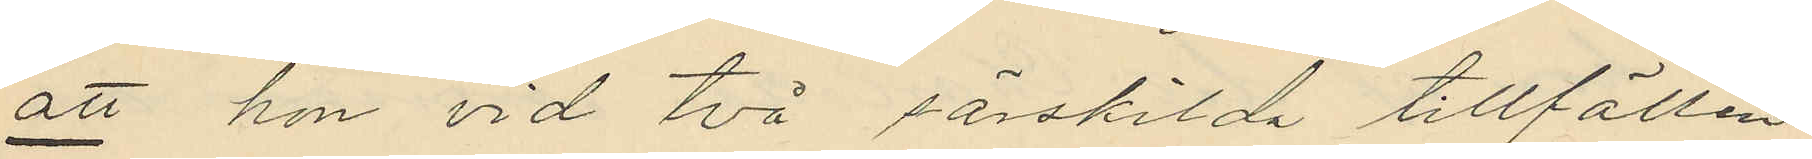att hon vid två särskilda tillfällen
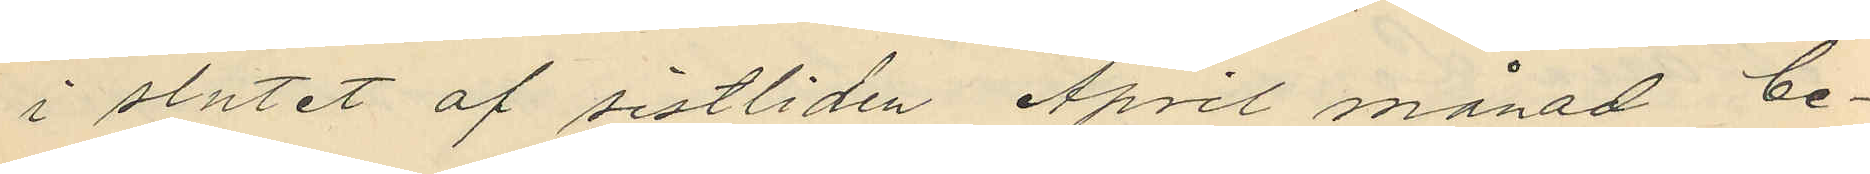i slutet af sistliden April månad be¬
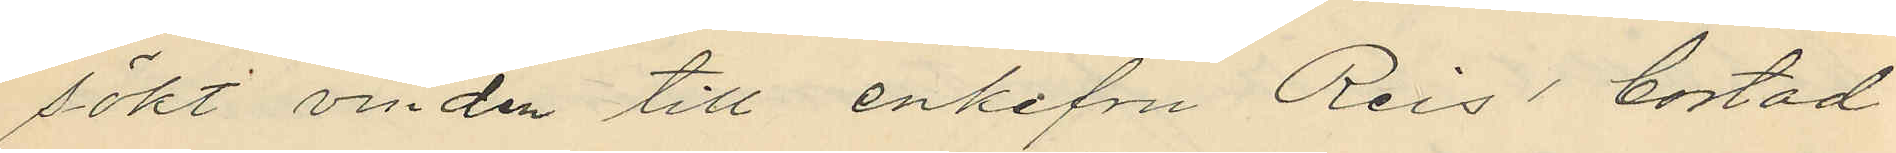sökt vinden till enkefru Reis´ bostad
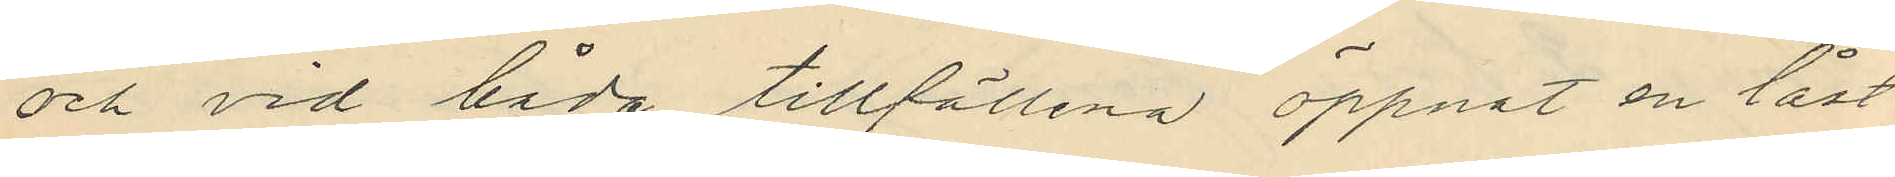och vid båda tillfällena öppnat en låst
